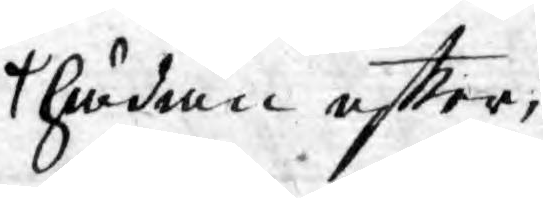hädan effter,
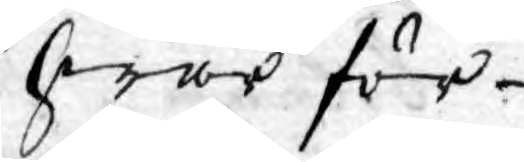hwar för
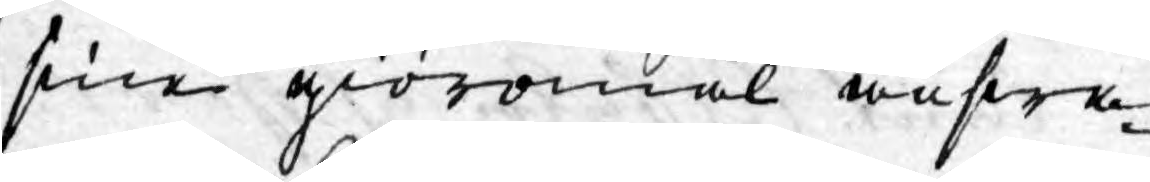sine giöromål answa¬
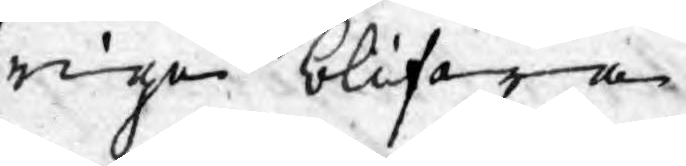rige blifwa.
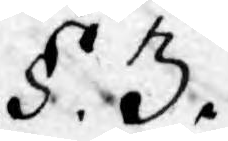§. 3.
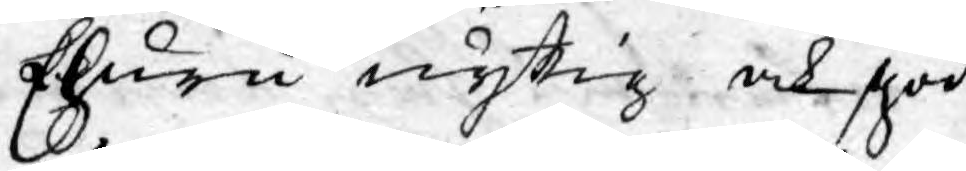Ehuru nyttig och god
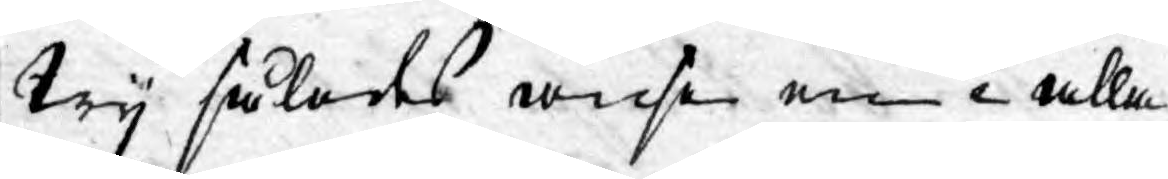Wy således anse en i alla
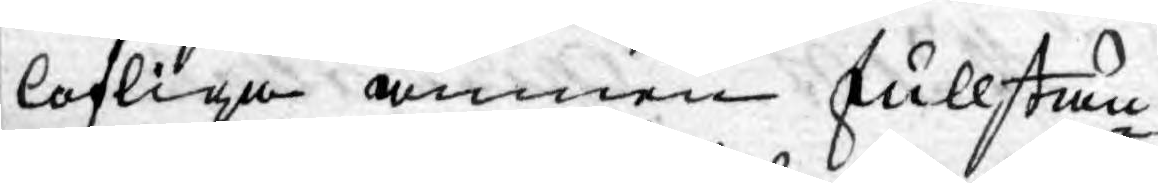lofliga ämnen fullstän¬
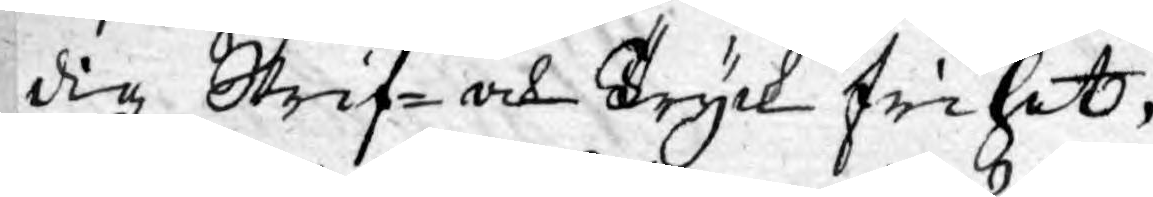dig Skrif- och Tryck frihet,
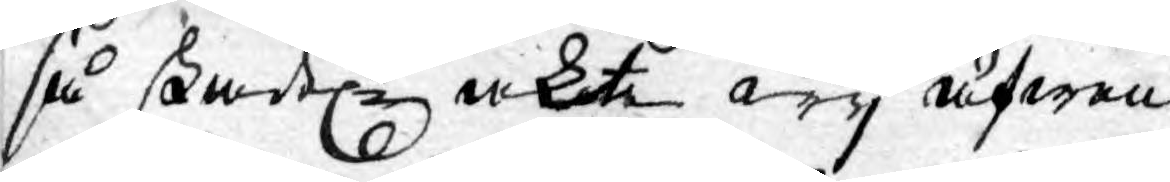så skadt akte wy äfwen
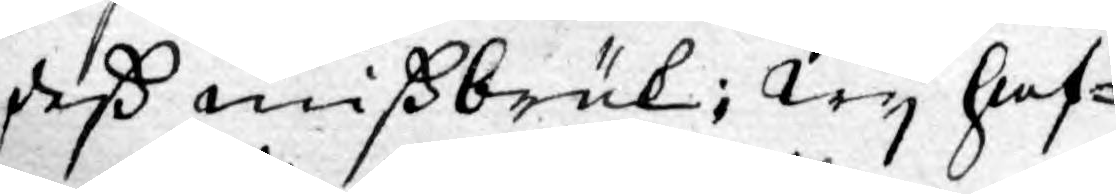deß mißbruk; Wy haf¬
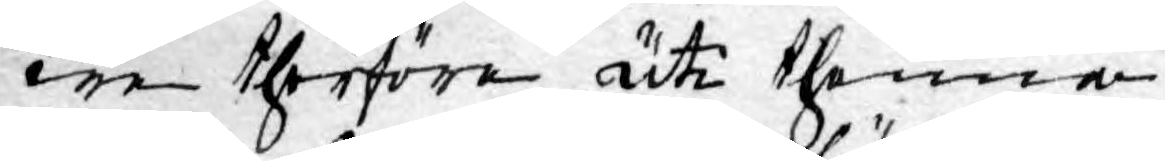we therföre uti thenna
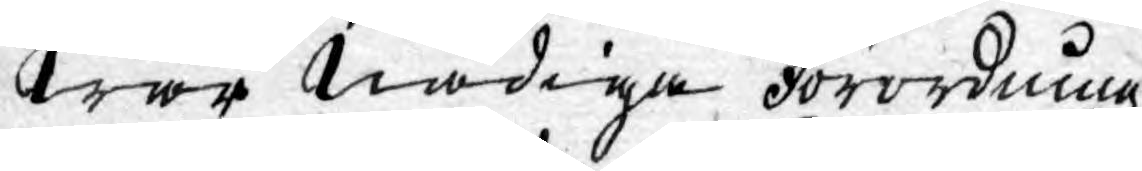Wår Nådiga Förordning
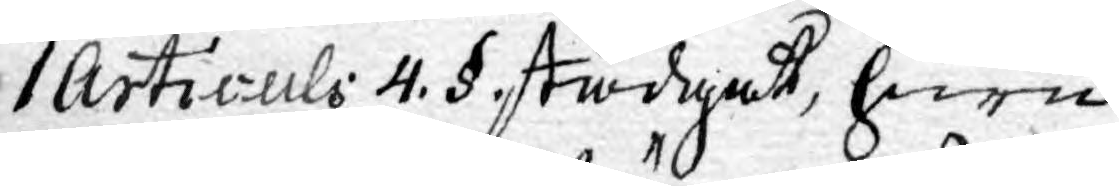1 Articuls 4. § stadgat, huru
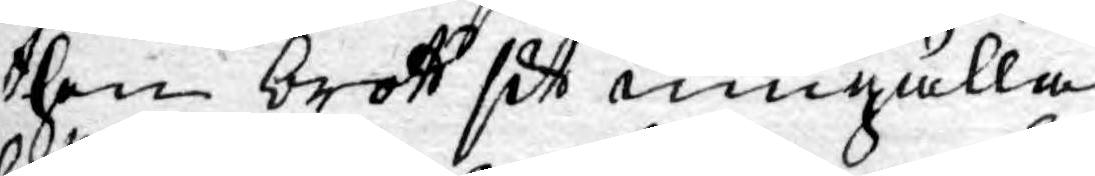then brott sitt umgälla
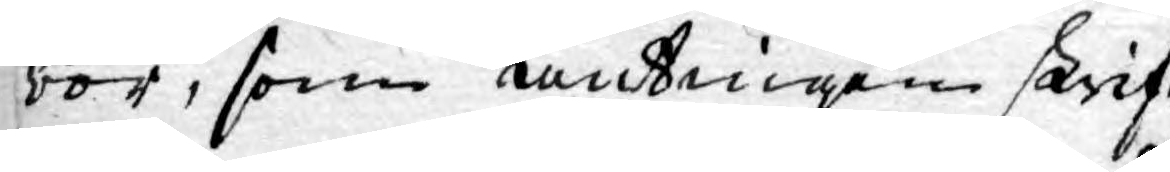bör, som antingen skrif¬
